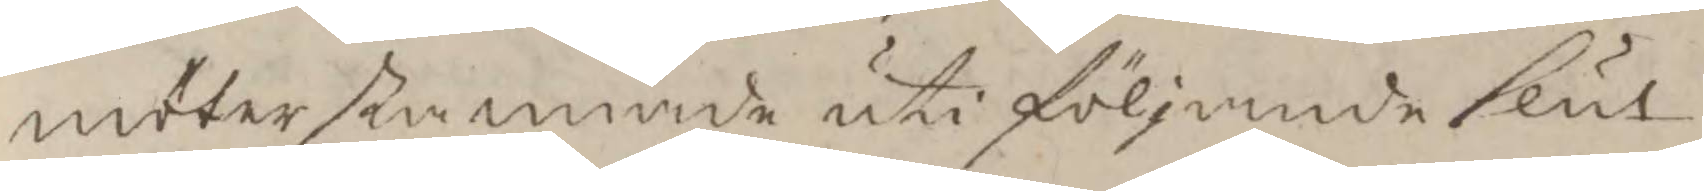möter stannade uti följande slut.
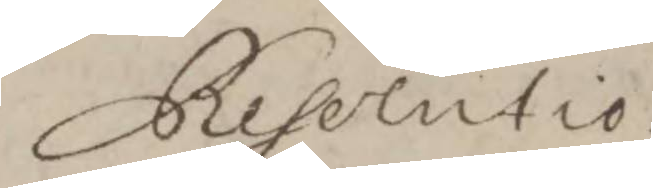Resolutio
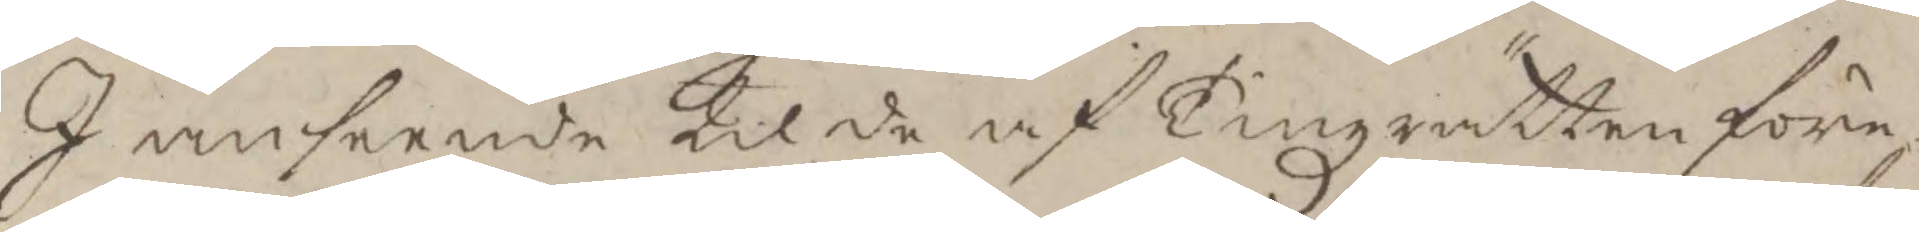I anseende til de af Tingzrätten före¬
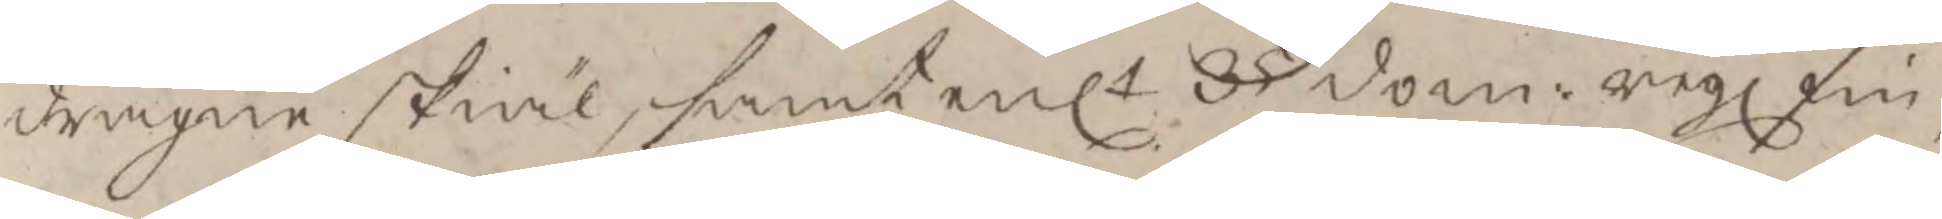dragne skiäl, samt enlt 35 dom: regl fin¬
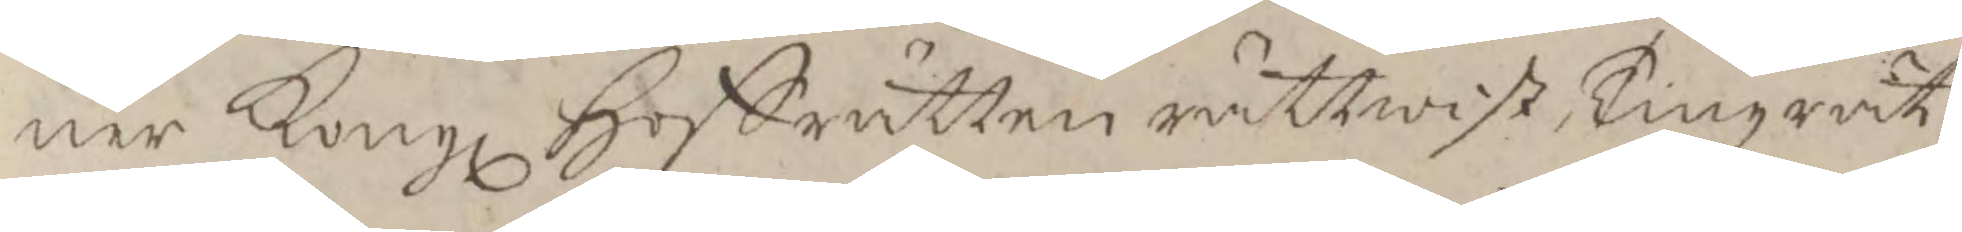ner Kongl Hoffrätten rättwist Tingzrät¬
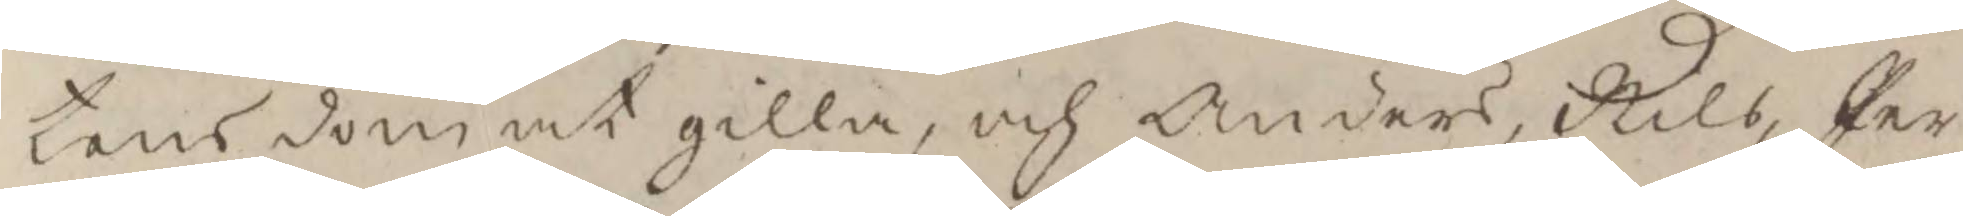tens dom at gilla, och Anders, Nils, Per
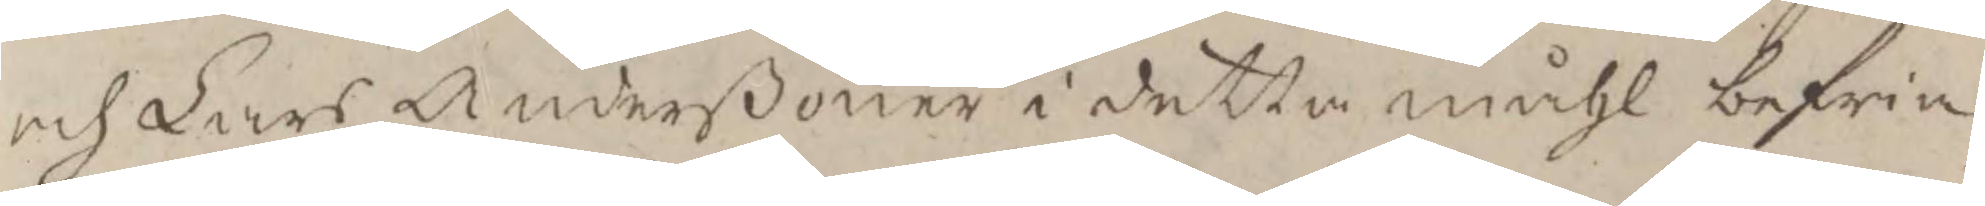och Lars Anderßöner i detta måhl befria,
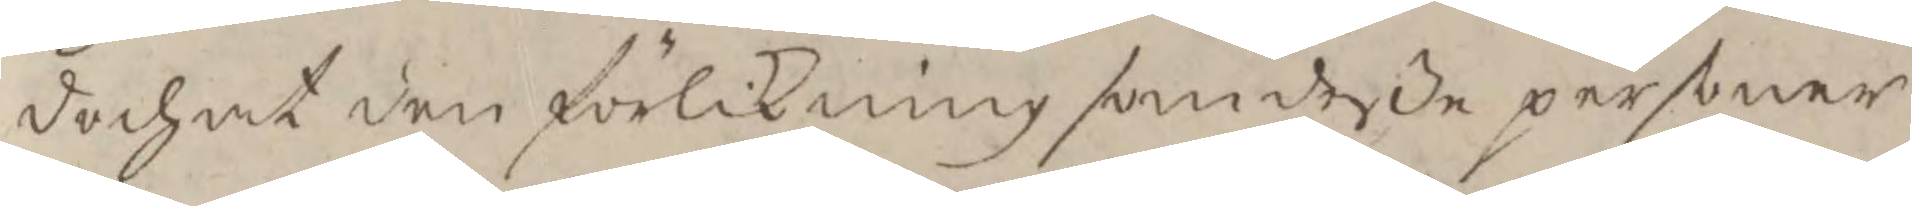doch at den förlikning som deße personer
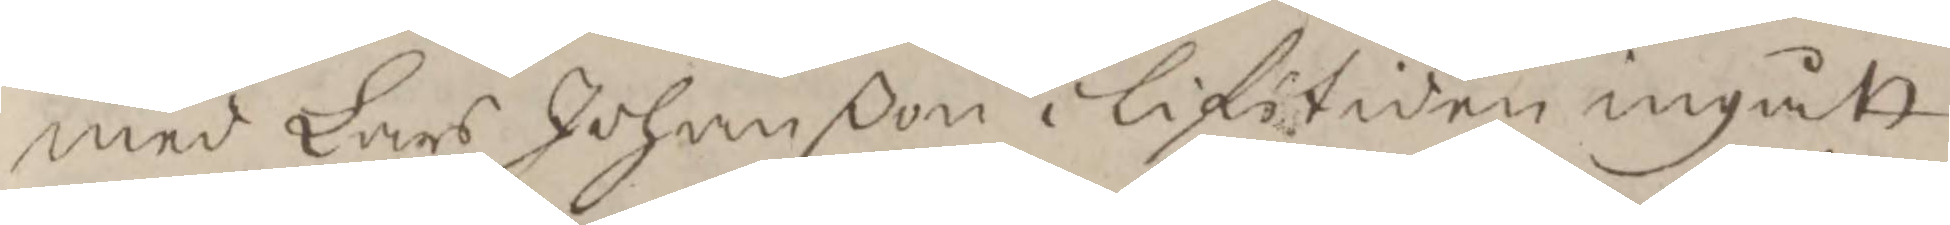med Lars Johanßon i lifstiden ingått
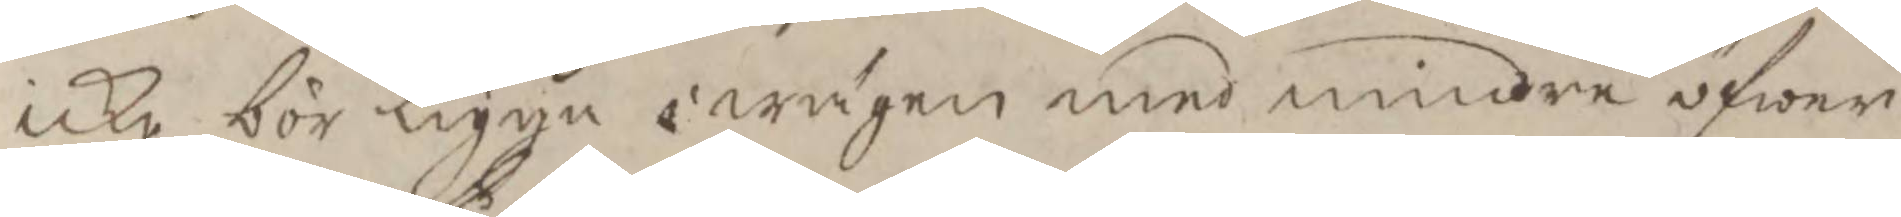icke bör ligga i wägen med mindre öfwer
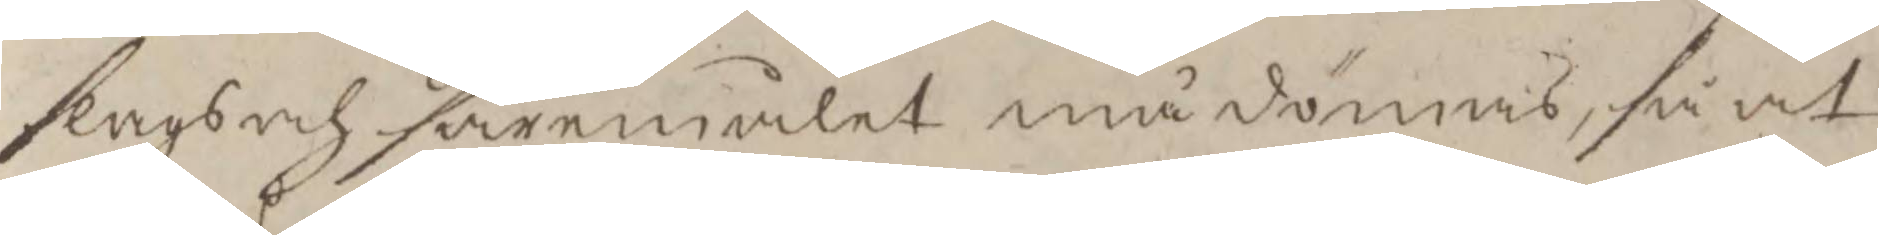slags och såremåhlet må dömas, så at
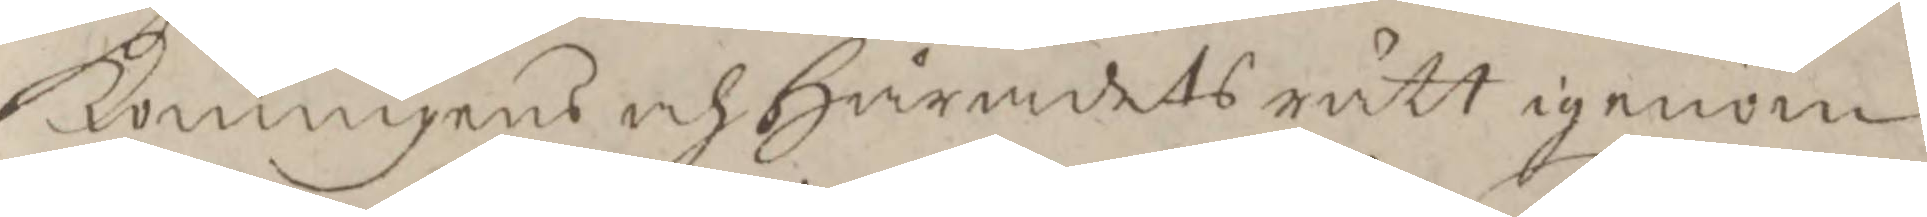Konungens och Häradets rätt igenom
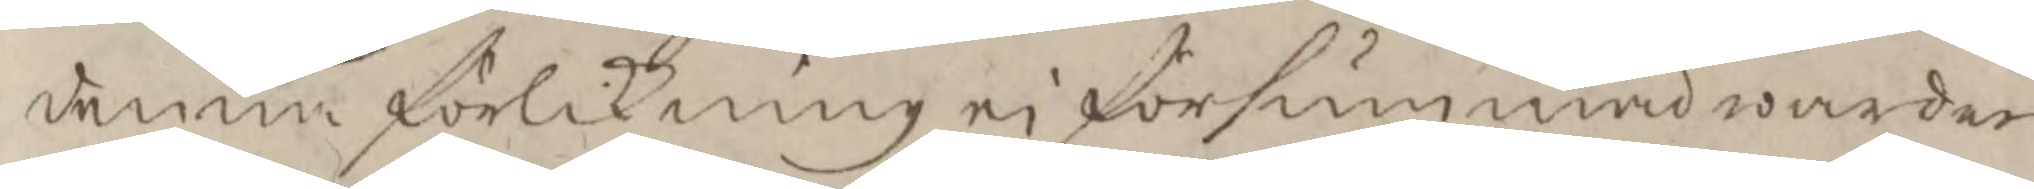denna förlikning ei försummad warder
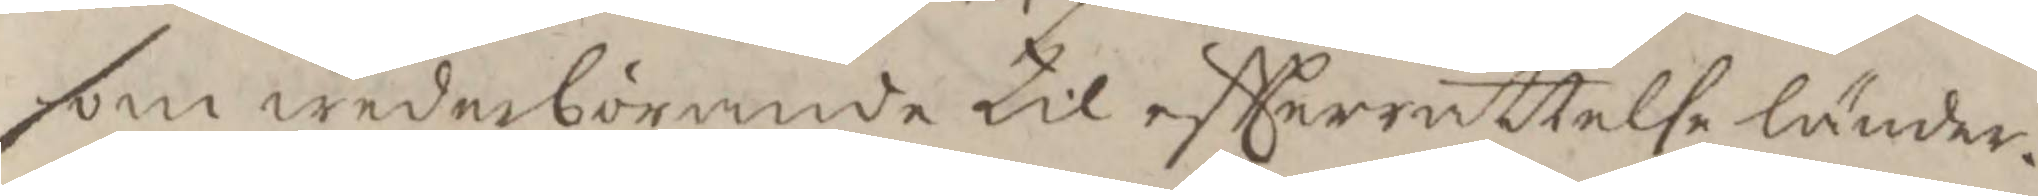som wederbörande til eftterrättelse länder.
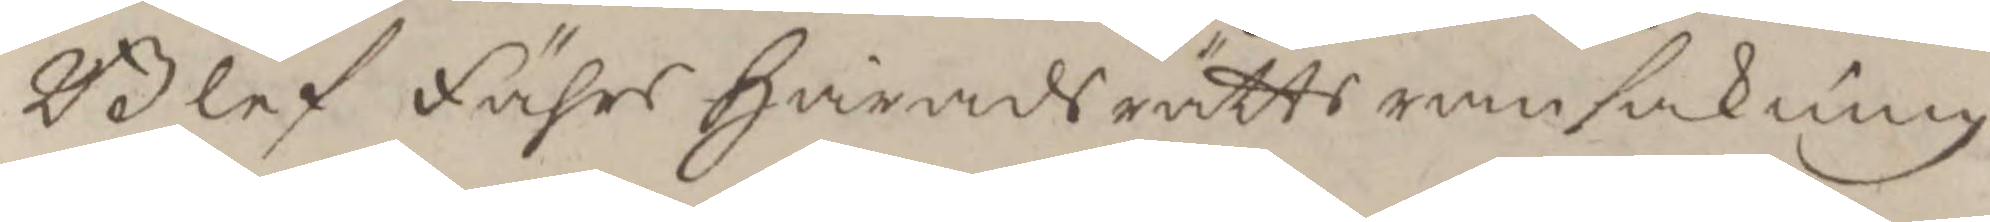Blef Fähes Härads rätts ransakning
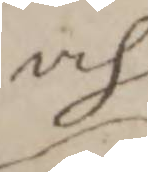och
